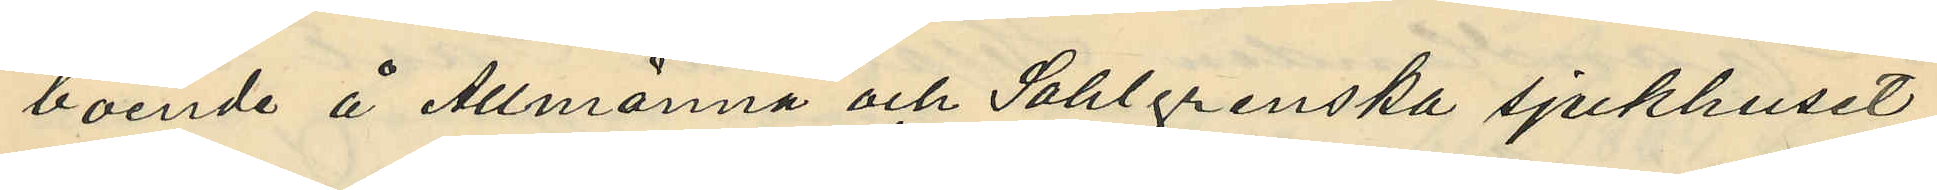boende å Allmänna och Sahlgrenska sjukhuset
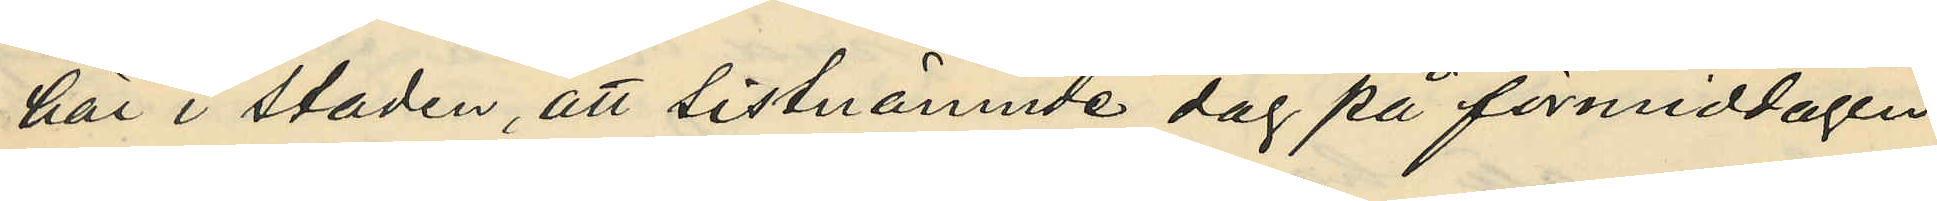här i staden, att sistnämnde dag på förmiddagen
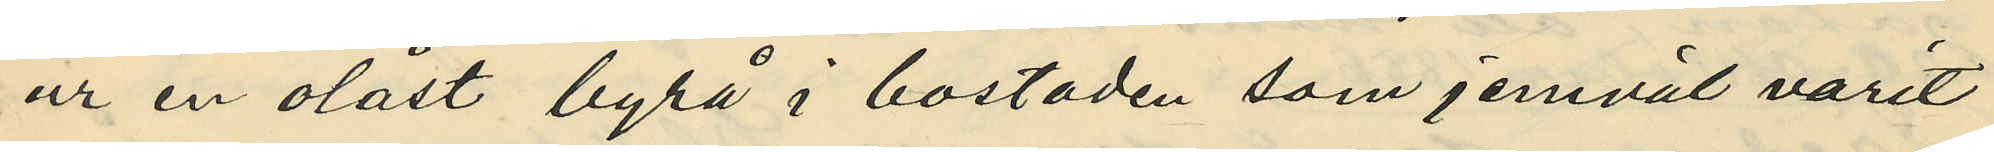ur en olåst byrå i bostaden som jemväl varit
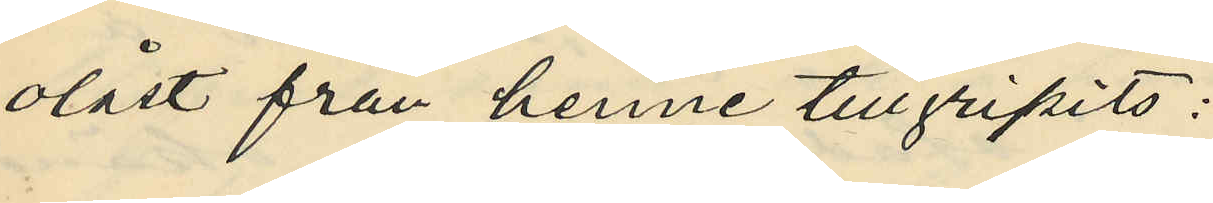olåst från henne tillgripits:
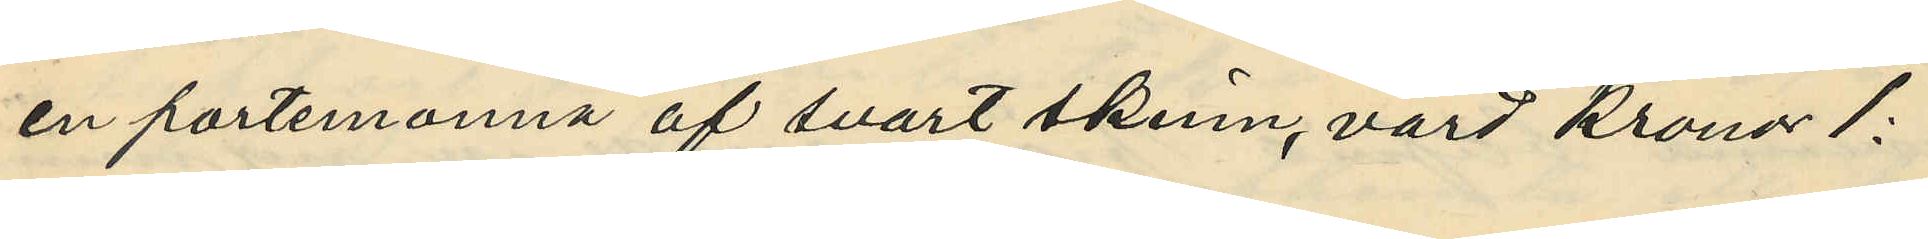en portmonnä af svart skinn, värd kronor 1:
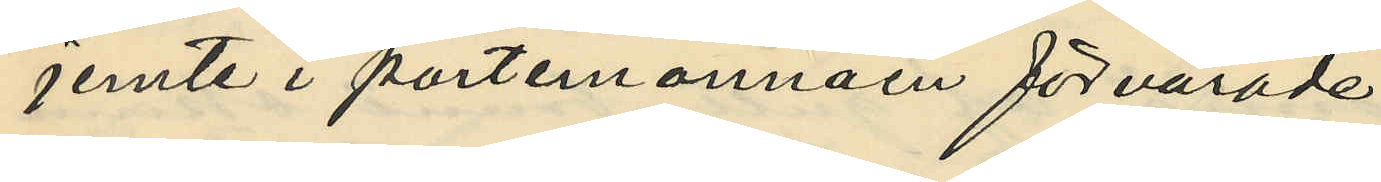jemte i portmonnäen förvarade
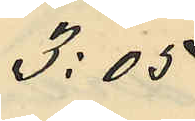3:05
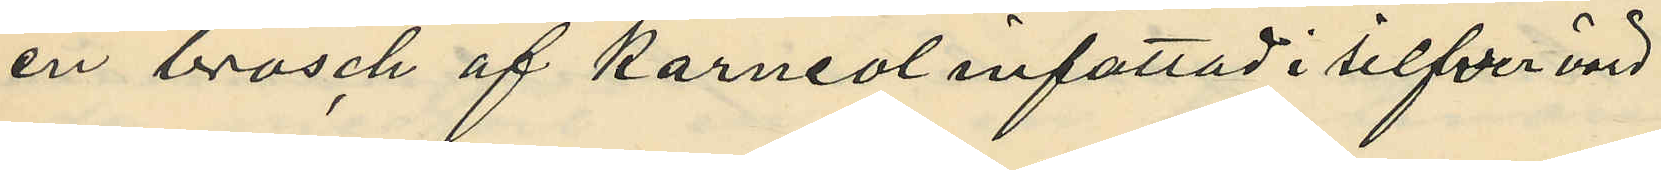en brosch af karneol infattad i silfver värd
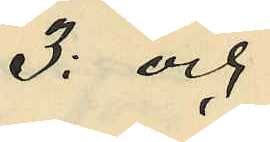3: och
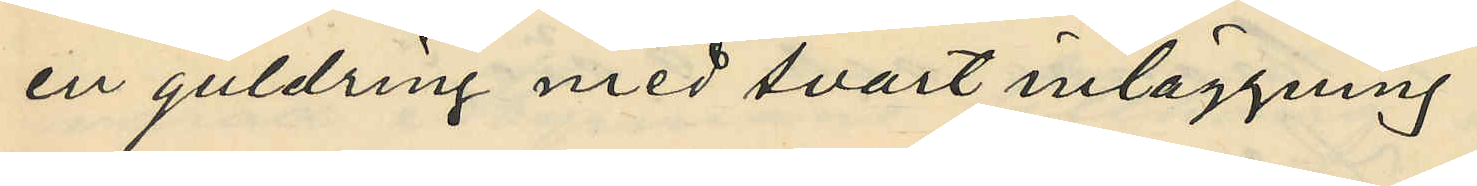en guldring med svart inläggning
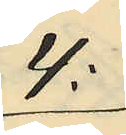4:
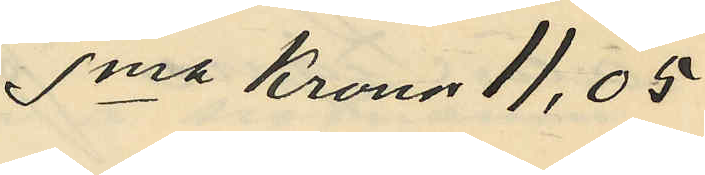Sma Kronor 11,05
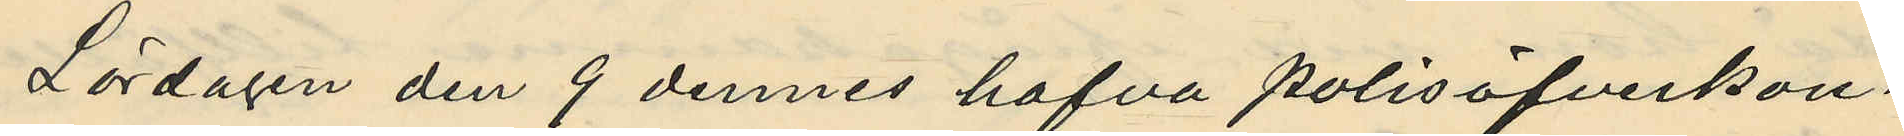Lördagen den 9 dennes hafva polisöfverkon¬
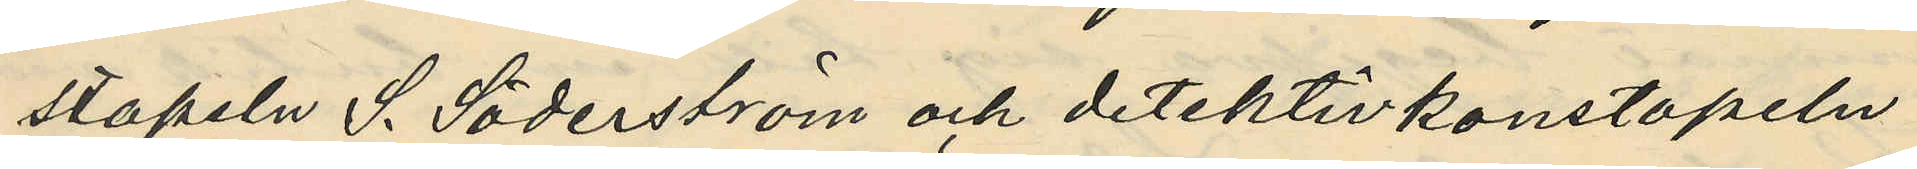stapeln S. Söderström och detektivkonstapeln
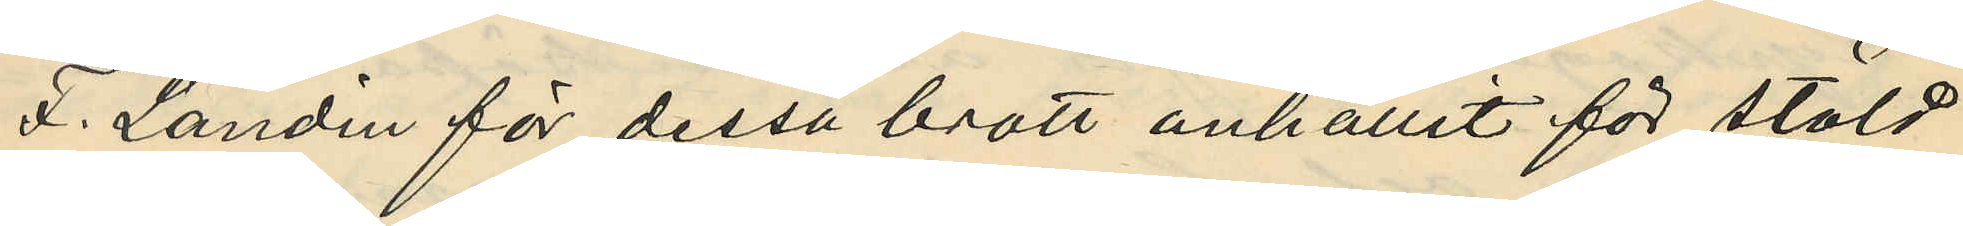F. Landin för dessa brott anhållit för stöld
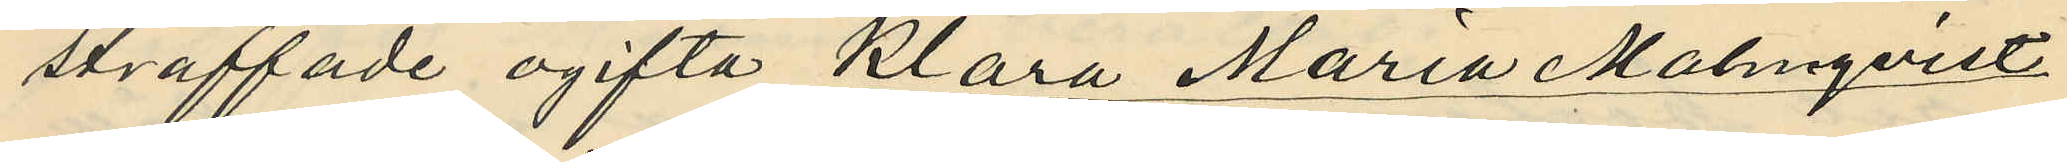straffade ogifta Klara Maria Malmqvist
